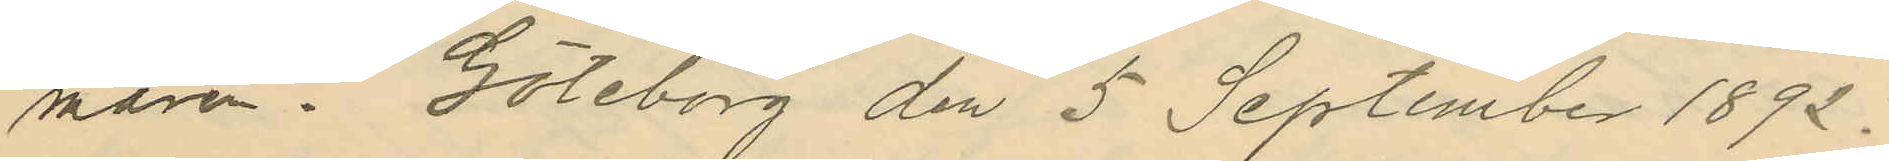maren. Göteborg den 5 September 1892.
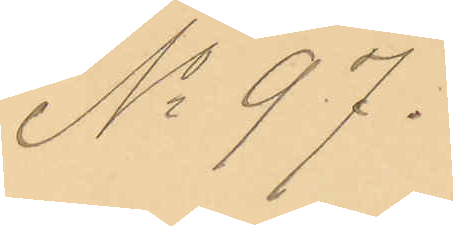No 97.
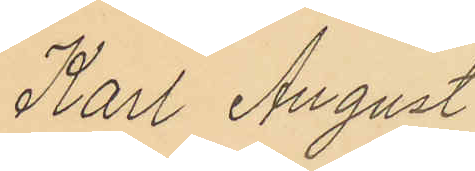Karl August
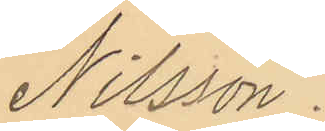Nilsson.
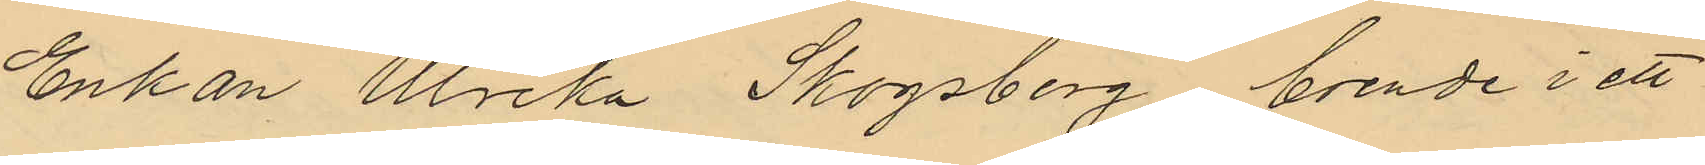Enkan Ulrika Skogsberg, boende i ett
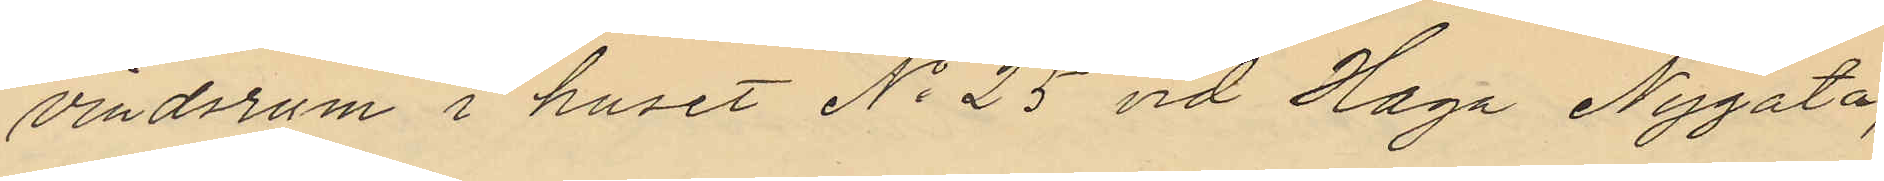vindsrum i huset No 25 vid Haga Nygata,
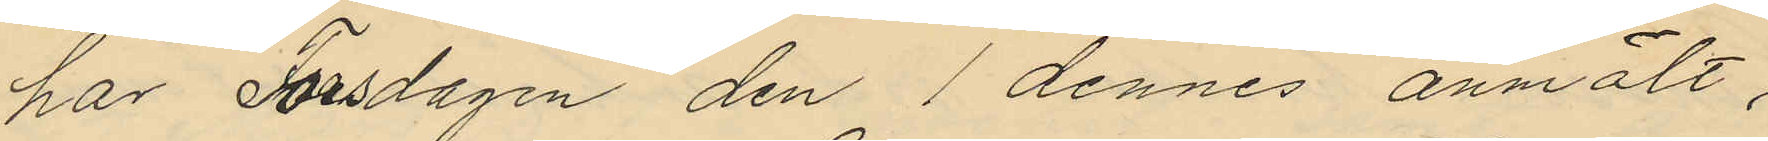har Torsdagen den 1 dennes anmält,
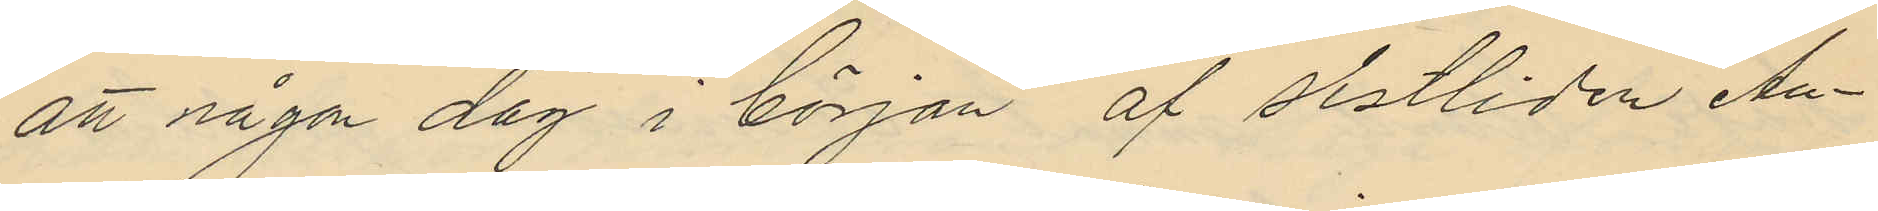att någon dag i början af sistliden An¬
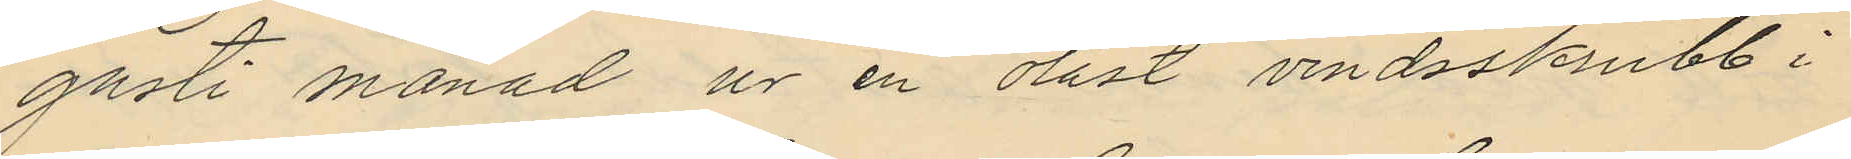gusti månad ur en olåst vindsskrubb i
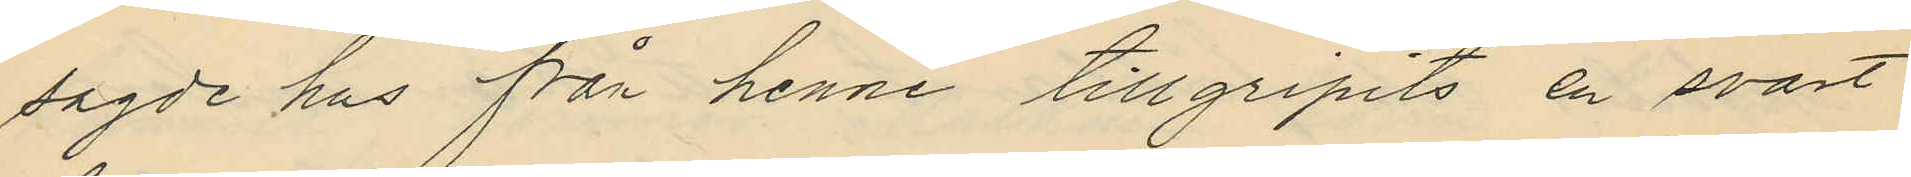sagde hus från henne tillgripits en svart
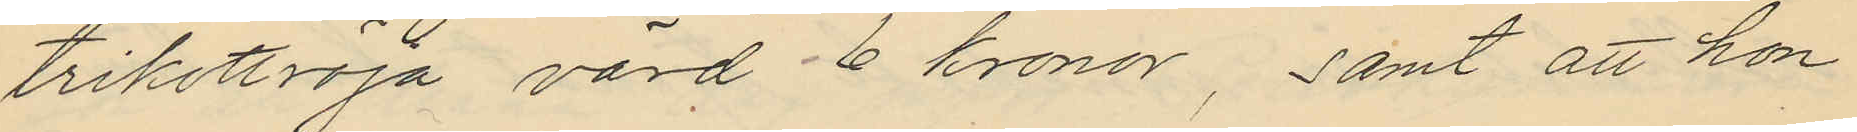trikottröja värd 6 kronor, samt att hon
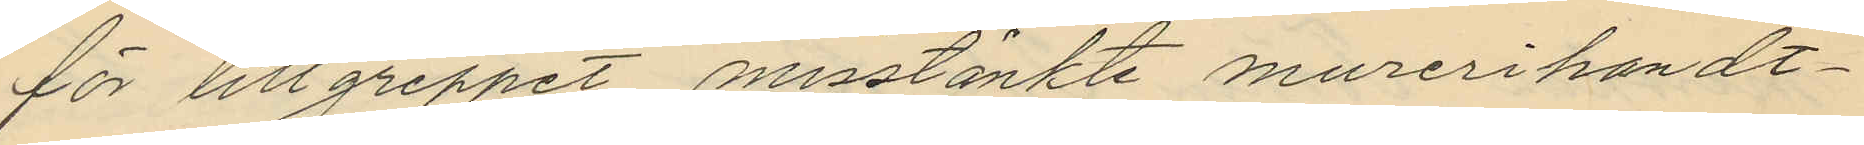för tillgreppet misstänkte murerihandt¬
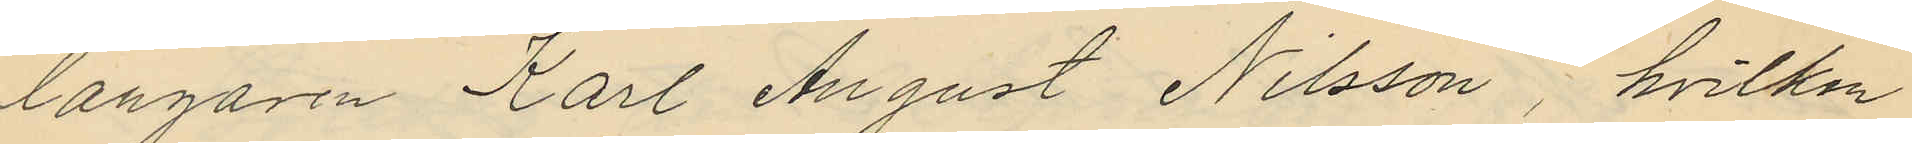langaren Karl August Nilsson, hvilken
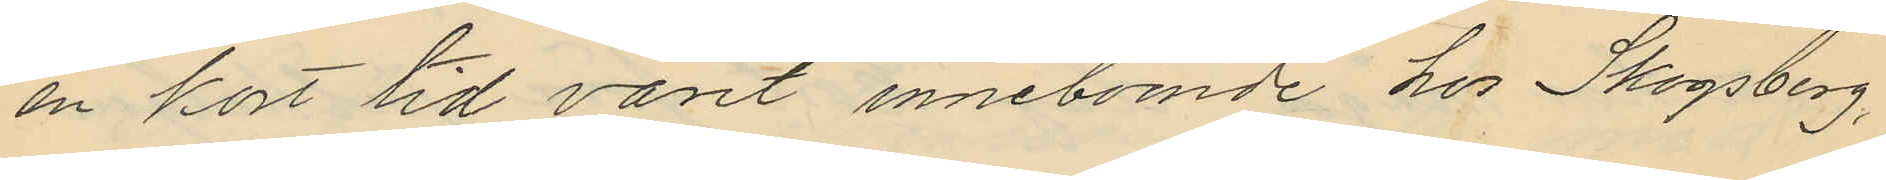en kort tid varit inneboende hos Skogsberg,
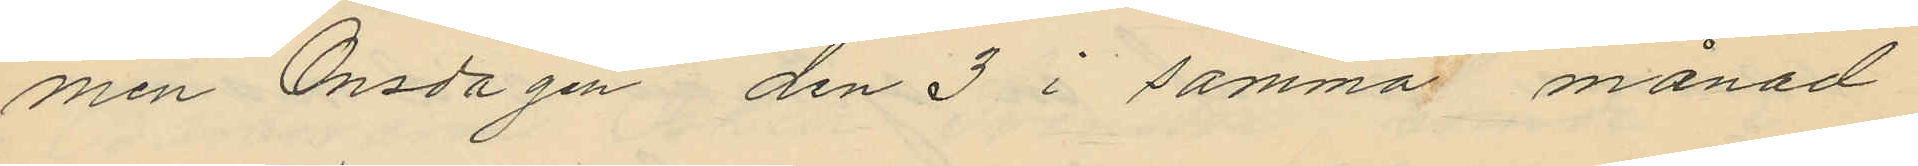men Onsdagen den 3 i samma månad
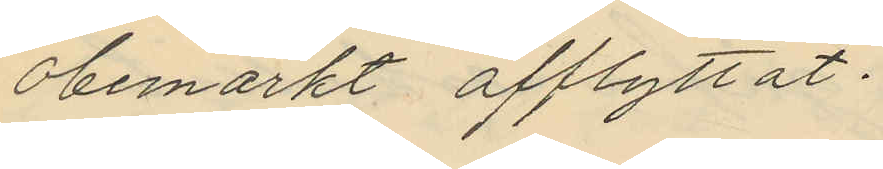obemärkt afflyttat.
